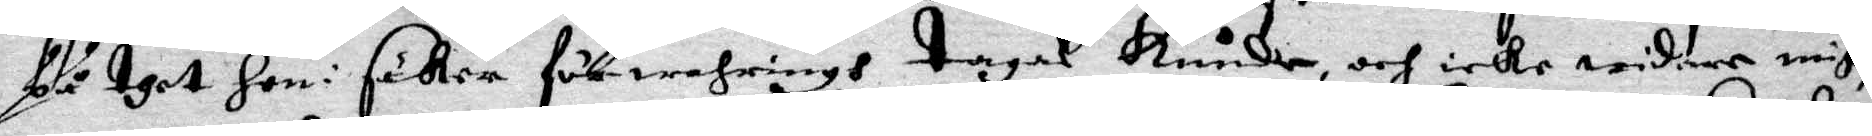på thet hon i säker förwahring tagas kunde, och icke widare migh,
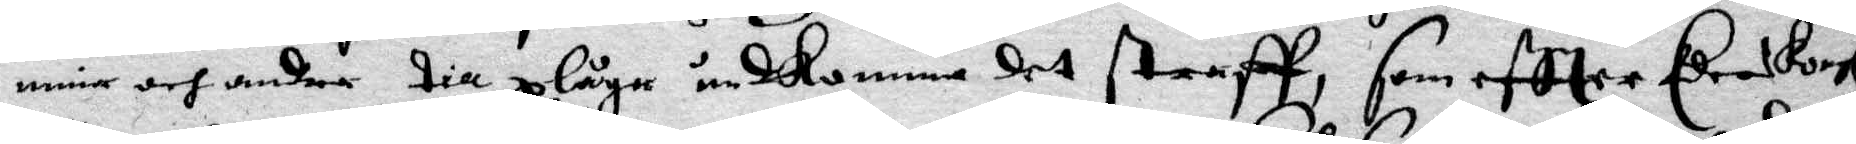mine och andre till plåga undkomma det straff, som eftter Eders Kongl
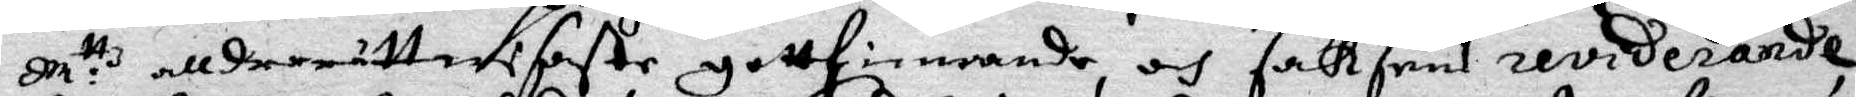M:ttz allerrättwisaste gottfinnande, och Saksens reviderande
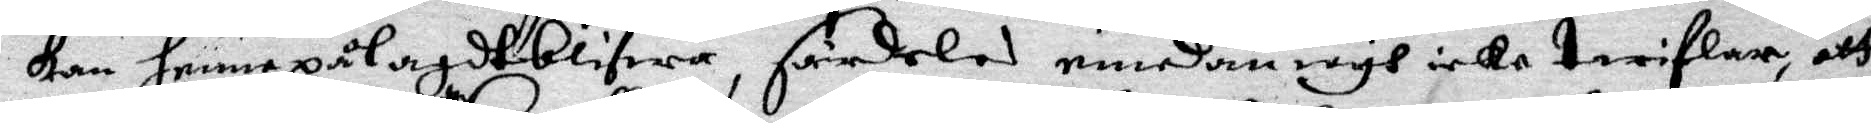kan henne pålagdt blifwa, särdeles emedan iagh icke twiflar att
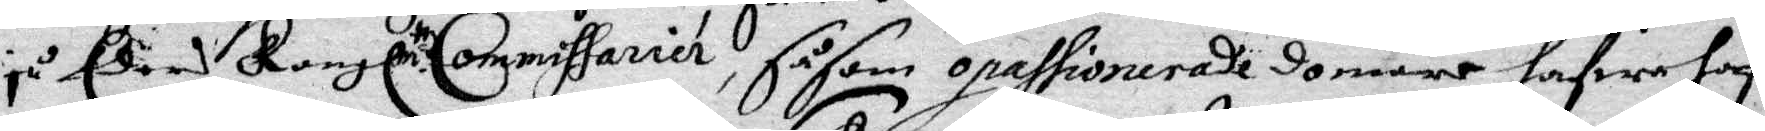ju Eders Kongl M.ttz Commissarier, såsom opassionerade domare hafwa haftt
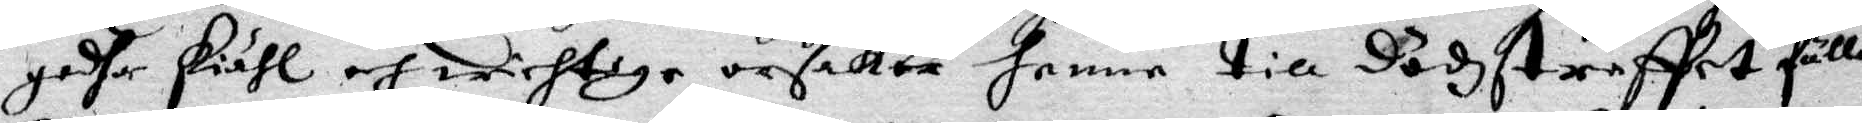godhe skiähl och wichtige orsaker henne till dödzstaffet fälla.
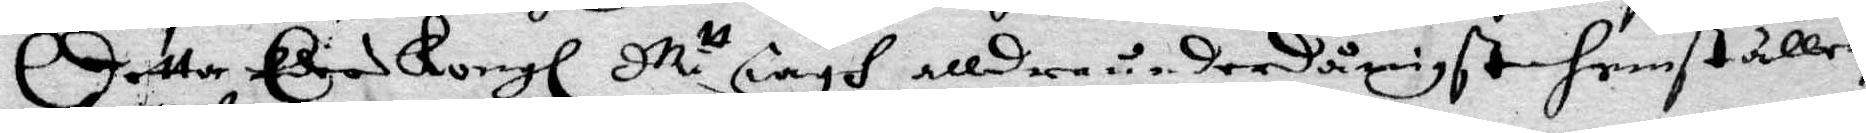Detta Eders Kongl M.tt iagh allderunderdånigst hemställer,
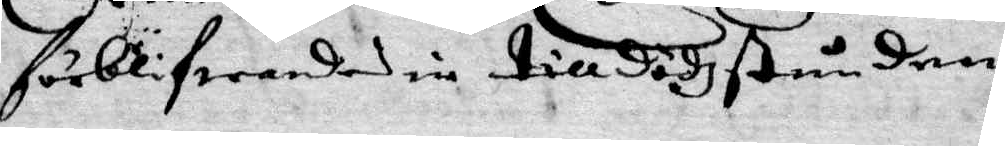förblifwandes in till dödzstunden
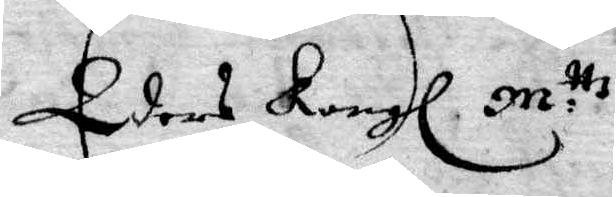Eders Kongl M:ttz
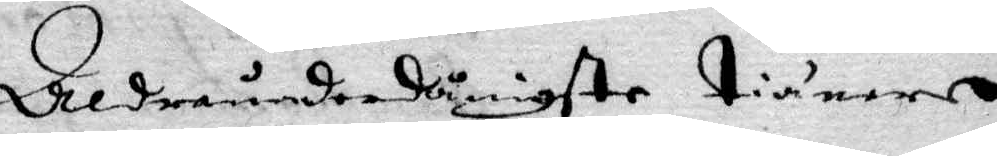Alderunderdånigste Tienare
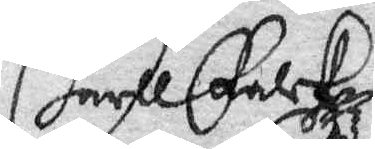Carll Falck
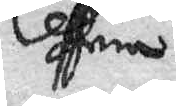Gefnia
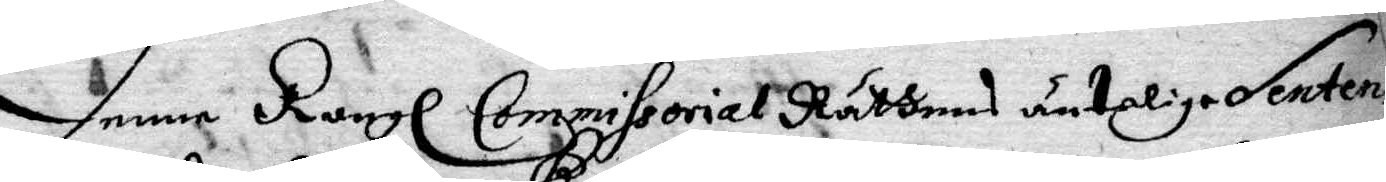Denne Kongl Commissorial Rättens änteliga Sentens
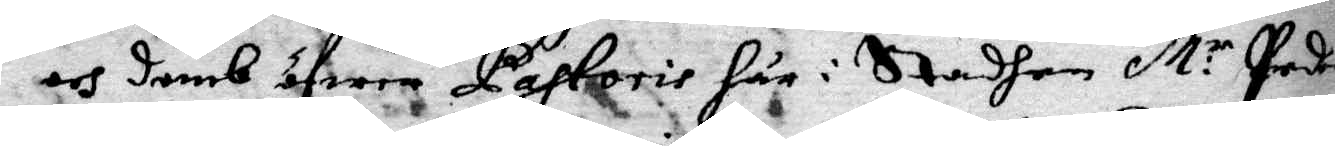och domb öfwer Pastoris här i Stadhen M:r Peders
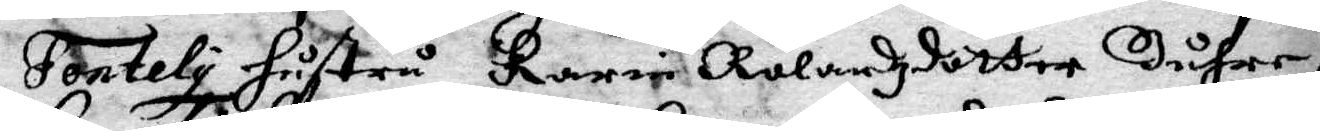Fontely hustru Karin Rolandzdotter Buhre,
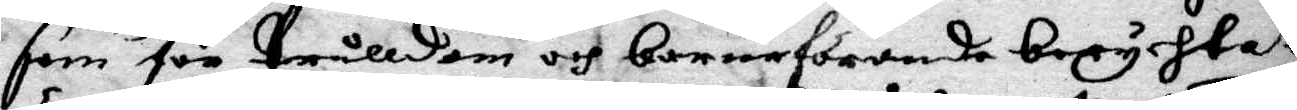som för trålldom och barnaförande berychtat
